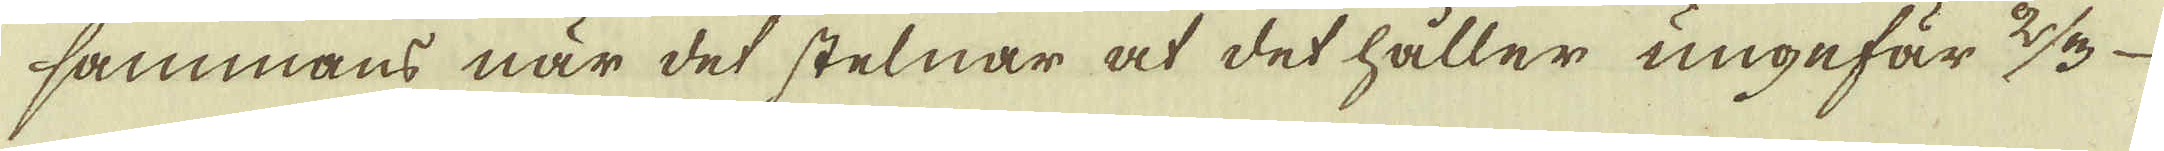sammans när det stelnar at det håller ungefär 2/3
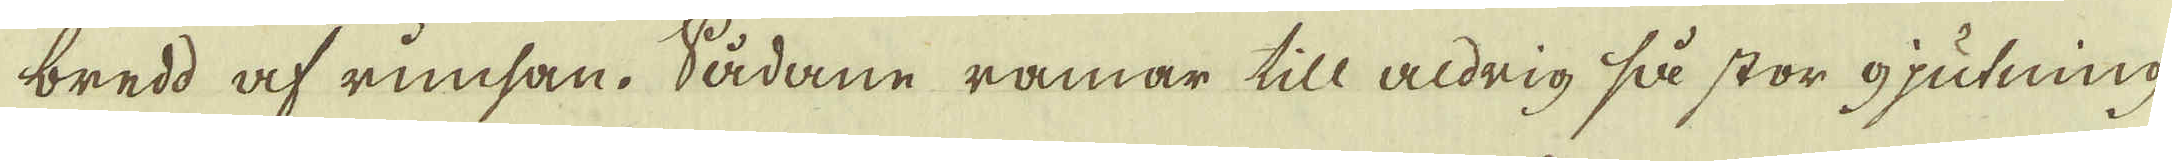bredd af rimsan. Sådane ramar till aldrig så stor gjutning
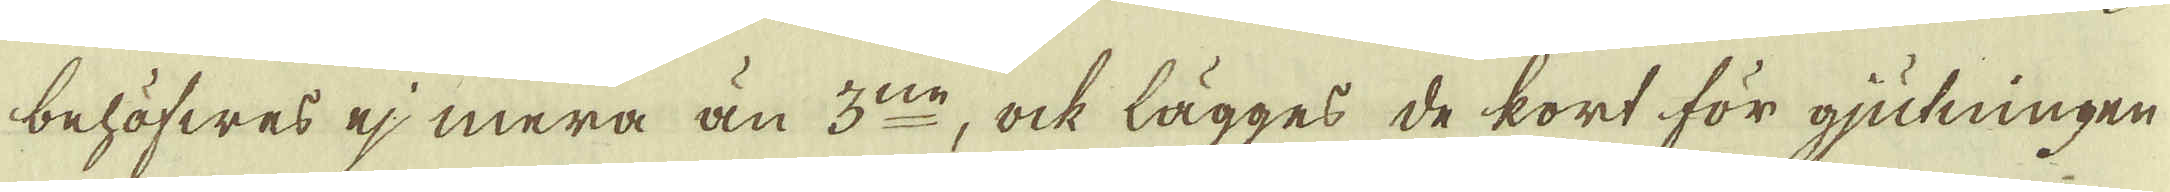behöfwes ej mera än 3:ne, ock lägges de kort för gjutningen
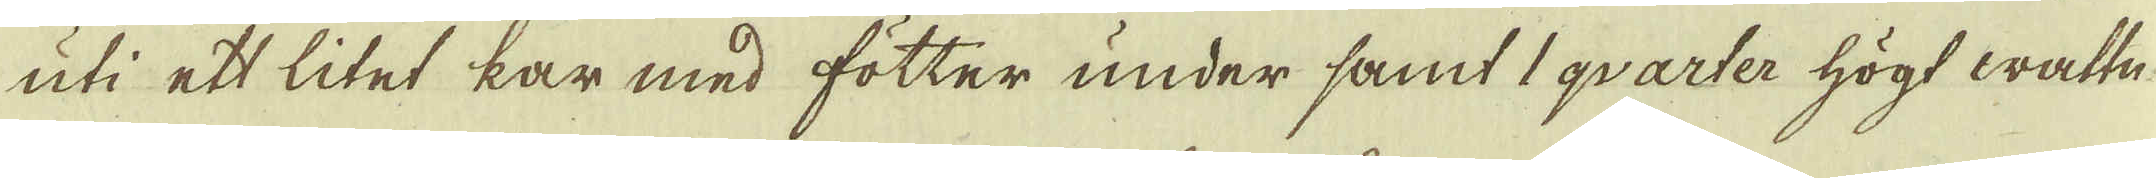uti ett litet kar med fötter under samt 1 qvarter högt wattn.
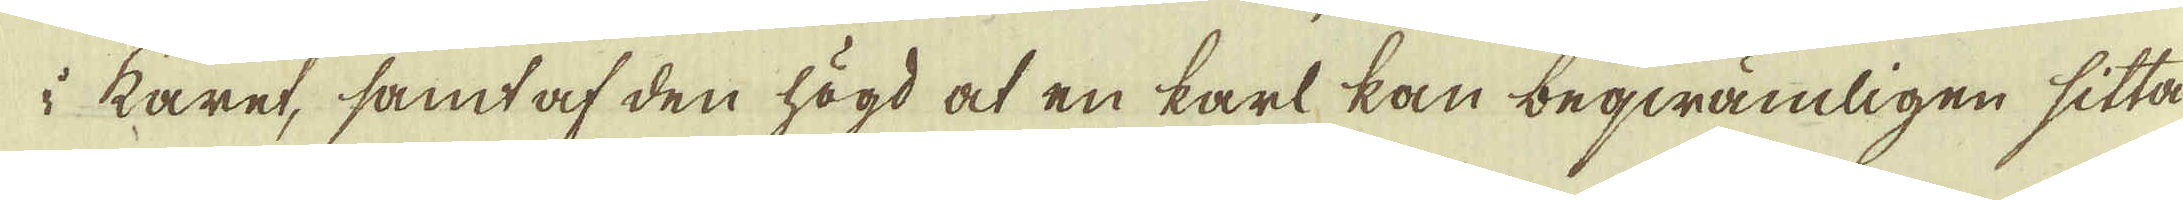i karet, samt af den högd at en karl kan beqwämligen sitta
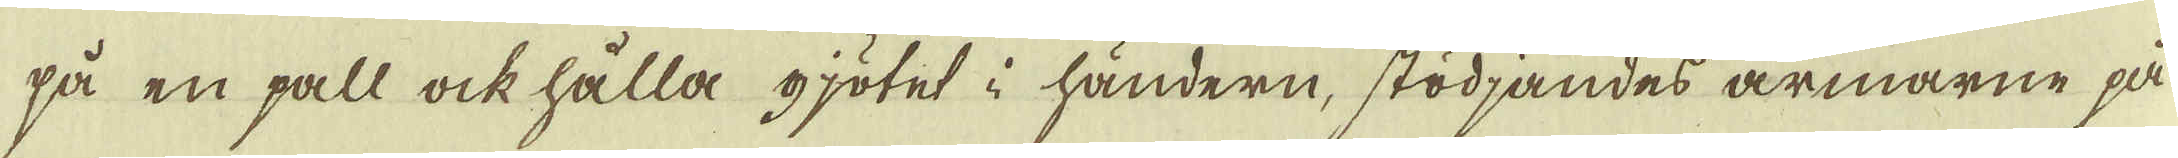på en pall ock hålla gjötet i händern, stödjandes armarne på
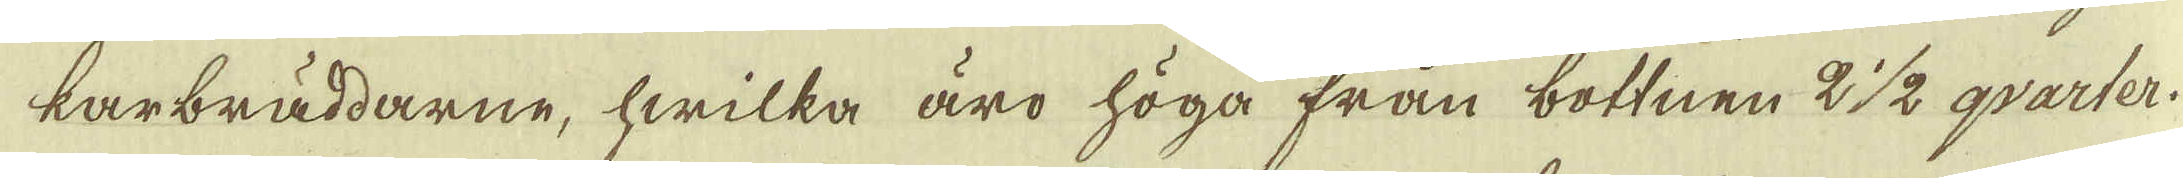karbräddarne, hwilka äro höga från bottnen 2 1/2 qvarter.
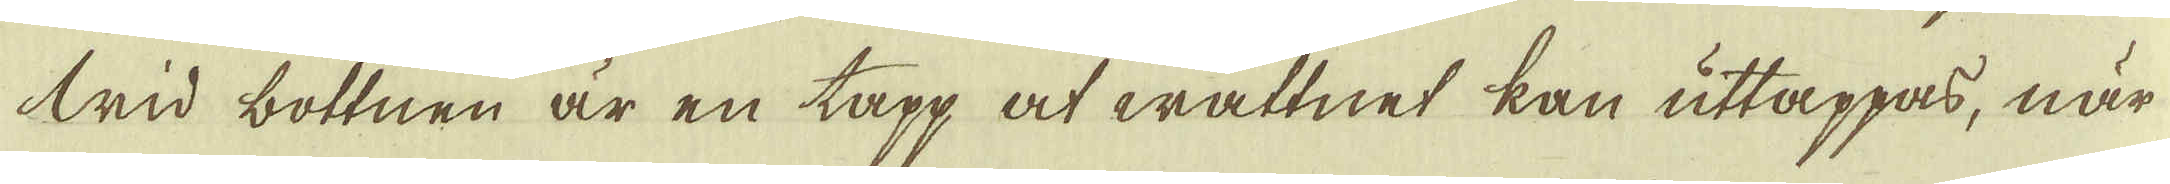Wid bottnen är en tapp at wattnet kan uttappas, när
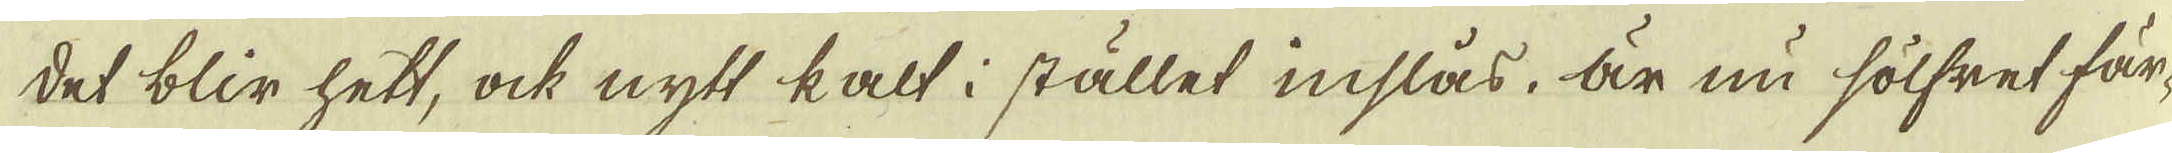det blir hett, ock nytt kalt i stället inslås. är nu sölfret fär-
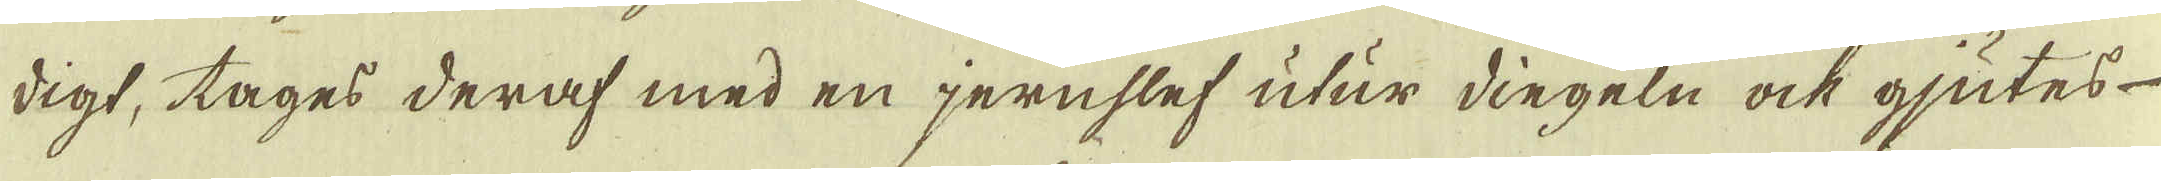digt, tages deraf med en jernslef utur dingeln ock gjutes
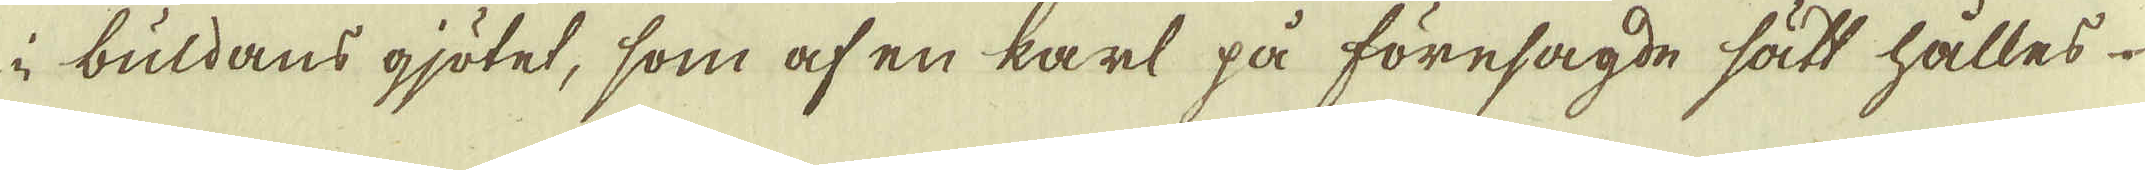i buldans gjötet, som af en karl på föresagde sätt hålles
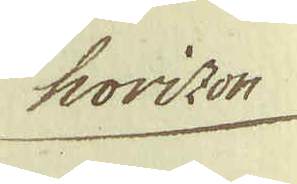horizon
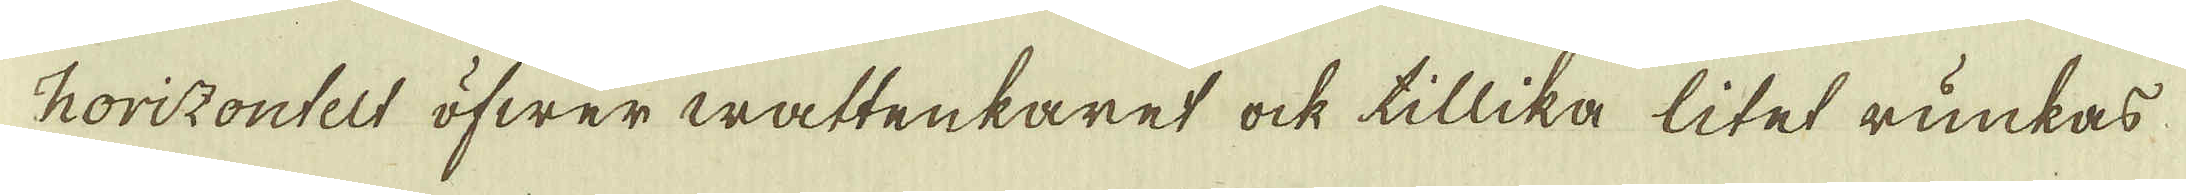horizontelt öfwer wattenkaret ock tillika litet runkas
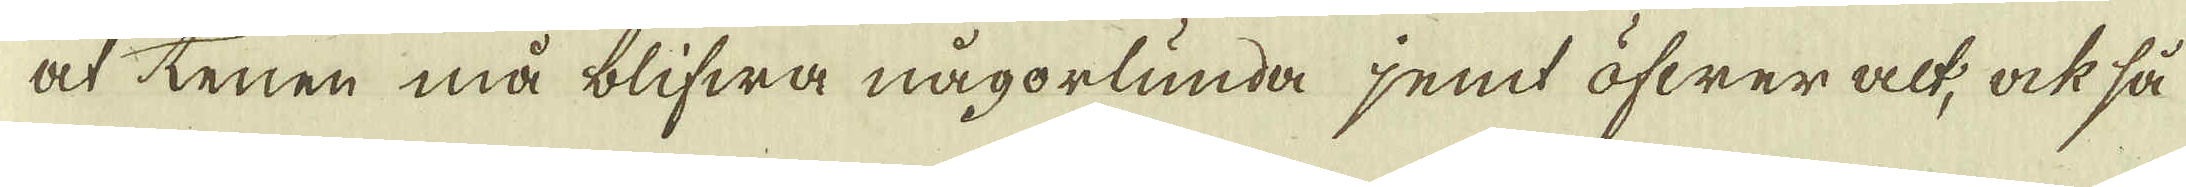at tenen må blifwa någorlunda jemt öfwer alt, ock så
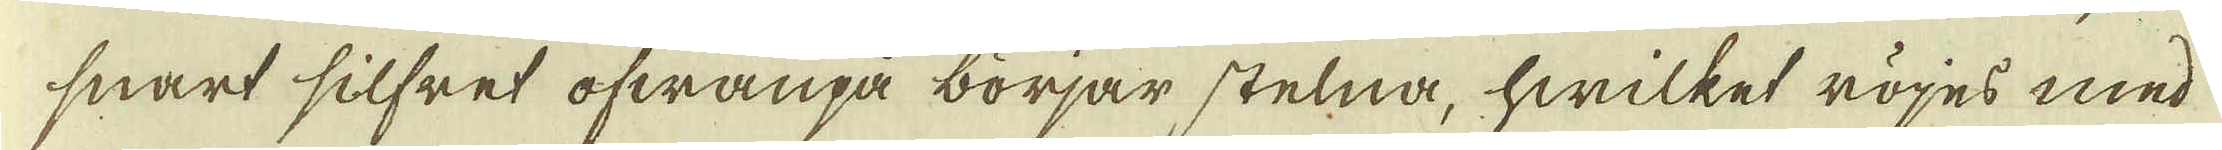snart silfret ofwanpå börjar stelna, hwilket röjes med
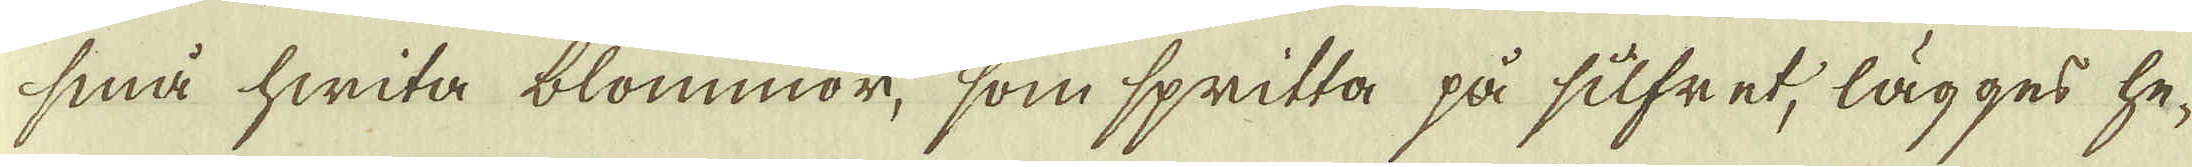små hwita blommor, som spritta på silfret, lägges he-
